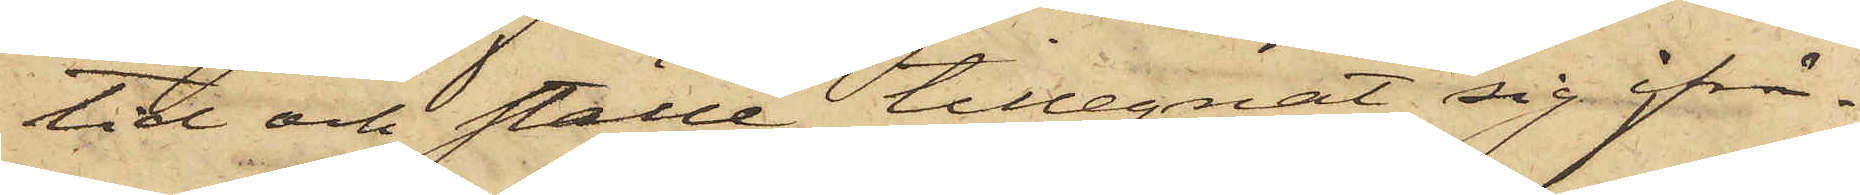tid och ställe tillegnat sig ifrå¬
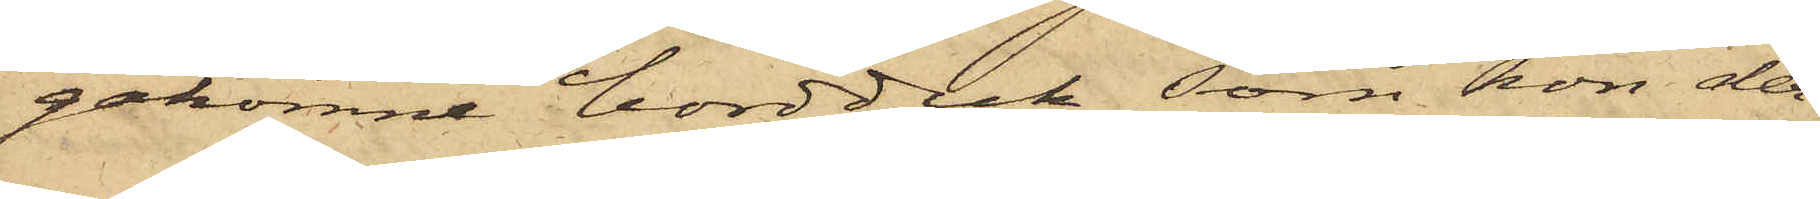gakomne bordduk, som hon der¬
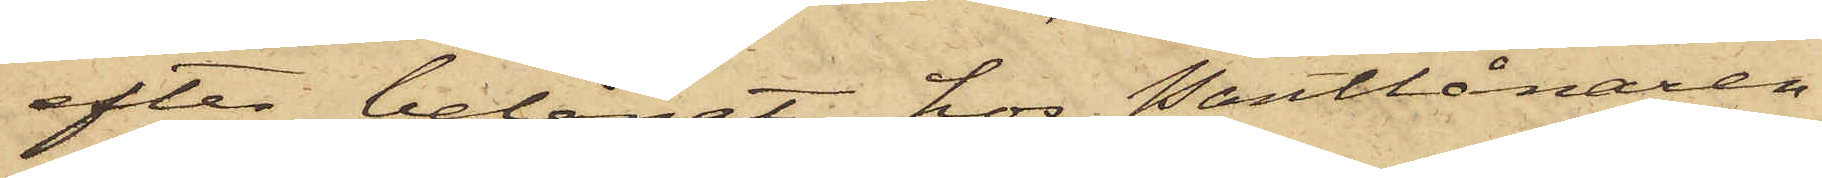efter belånat hos Pantlånaren
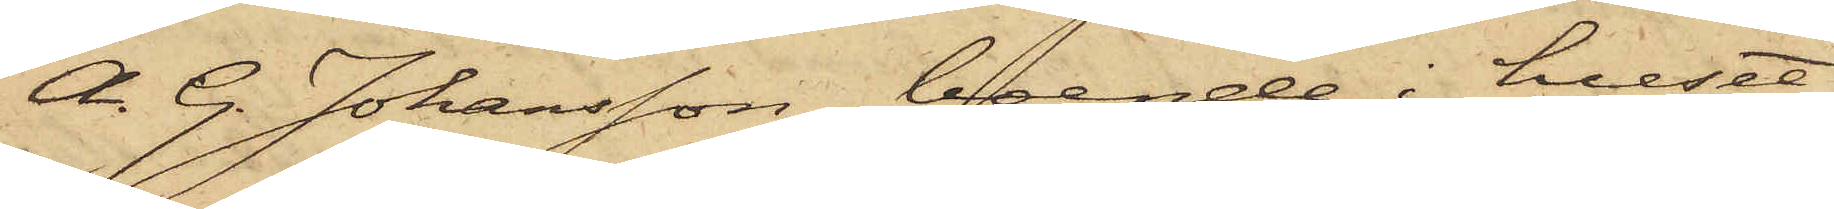A. G. Johansson, boende i huset
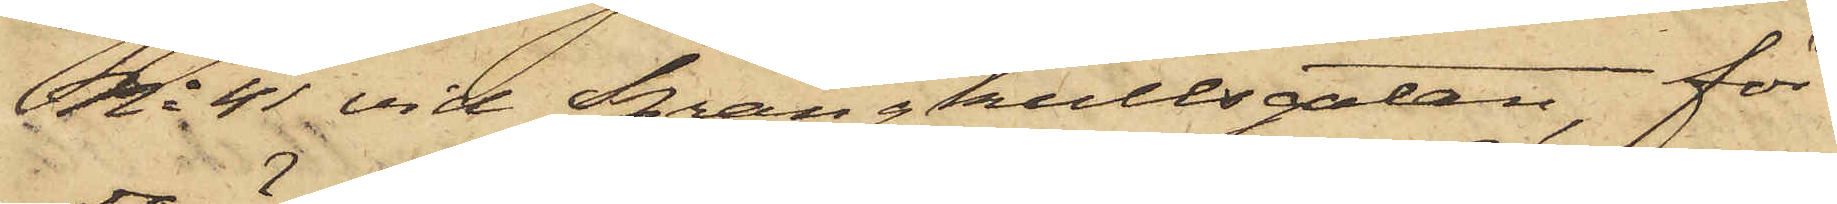No 41 vid Sprängkullsgatan, för
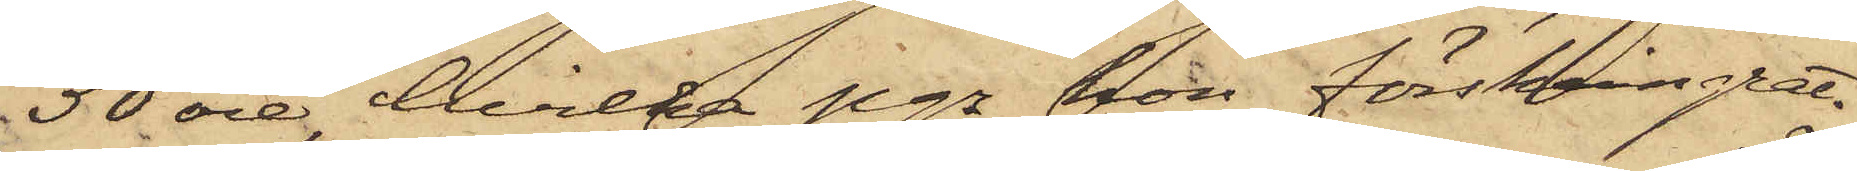50 öre, hvilka pgr hon förskingrat.
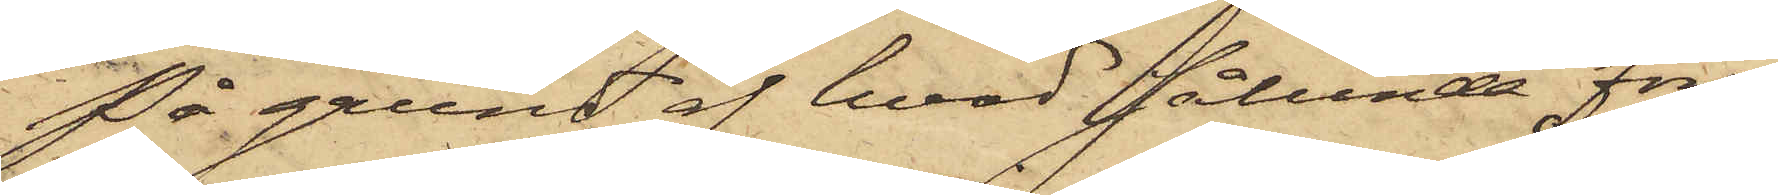På grund af hvad sålunda före¬
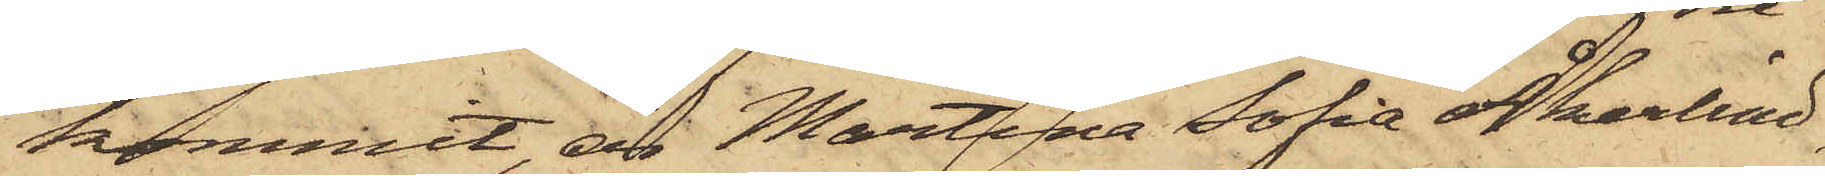kommit, är Martina Sofia Åkerlind,
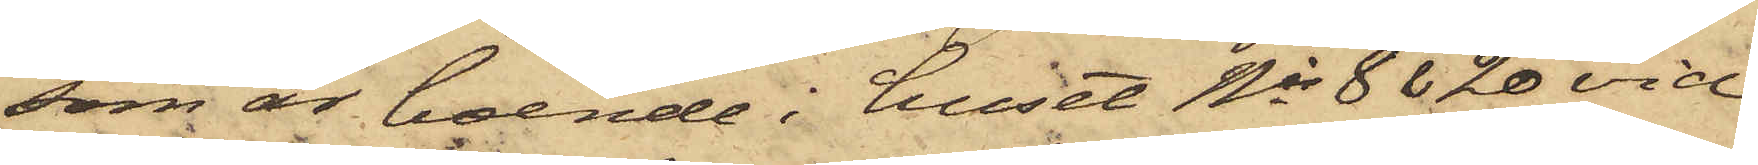som är boende i huset Nis 8 & 20 vid
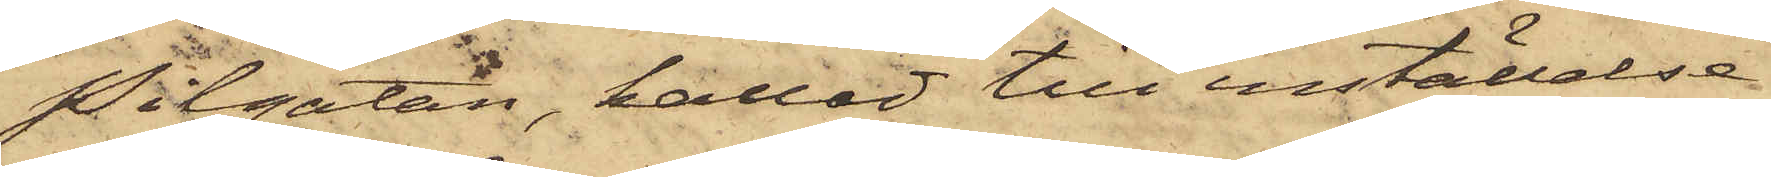Pilgatan, kallad till inställelse
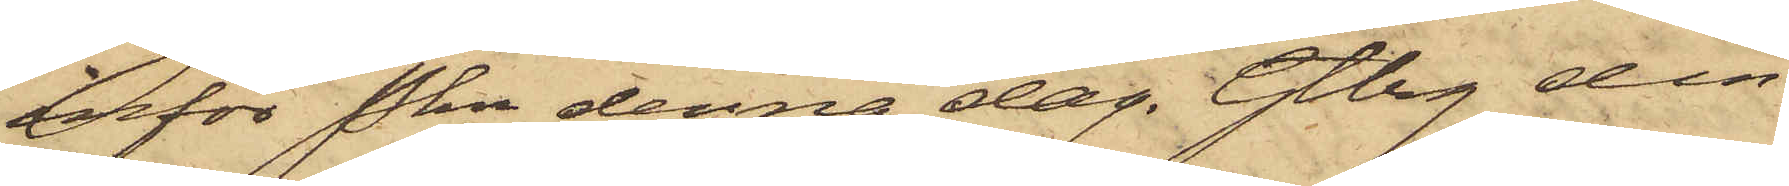inför Pkn denna dag. Gtbg den
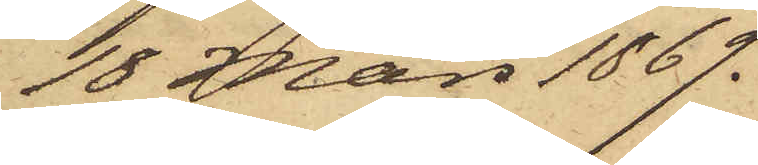18 Mars 1869.
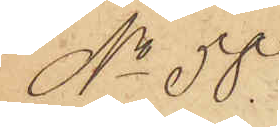No 58.
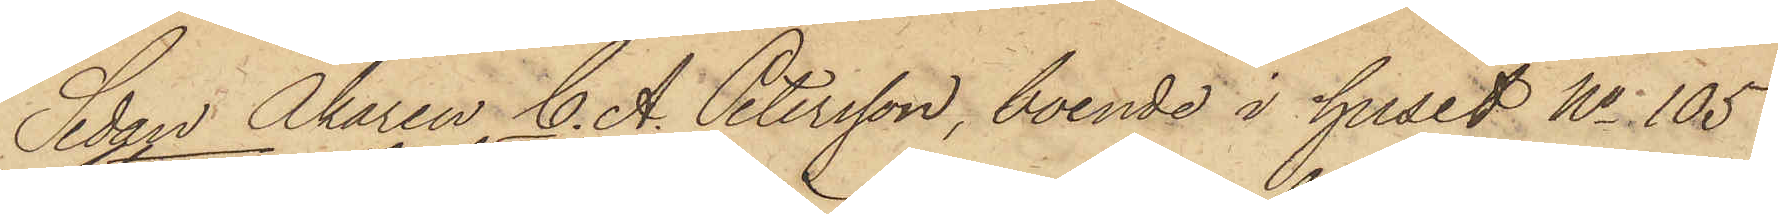Sedan Åkaren C. A. Petersson, boende i huset No 105
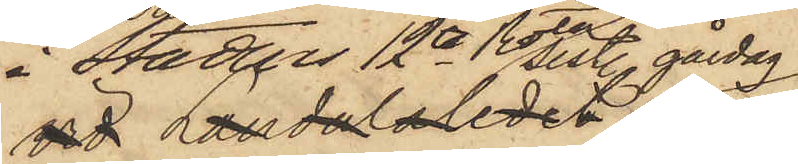i Stadens 12te Rote sistl. gårdag
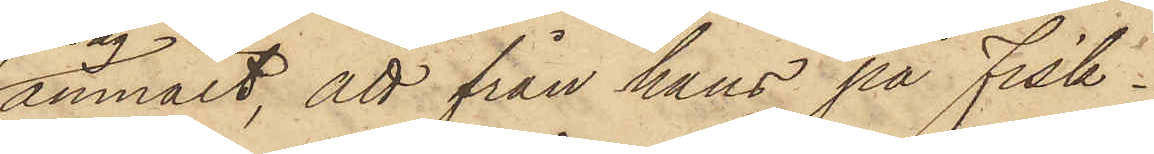anmält, att från hans på Fisk¬
